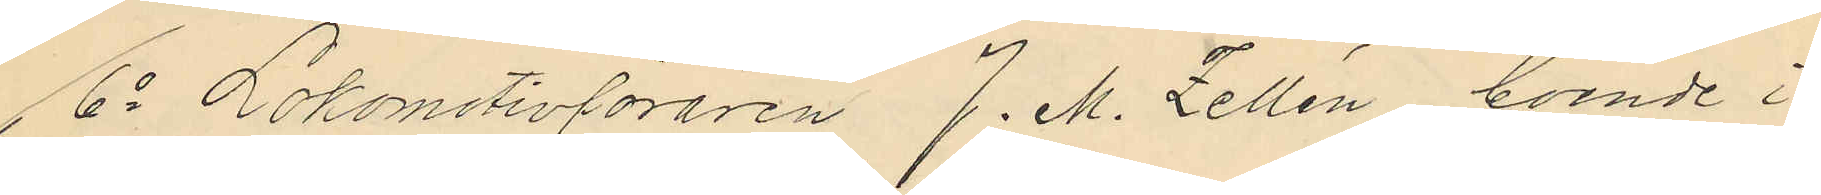6o Lokomotivföraren J. M. Zellén, boende i
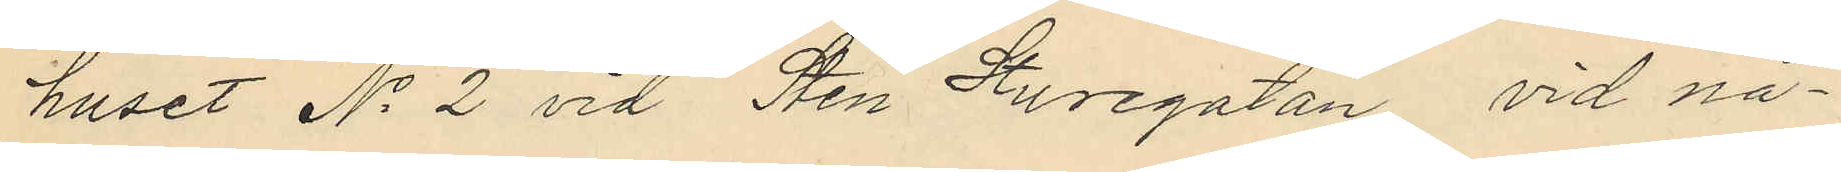huset No 2 vid Sten Sturegatan vid nå¬
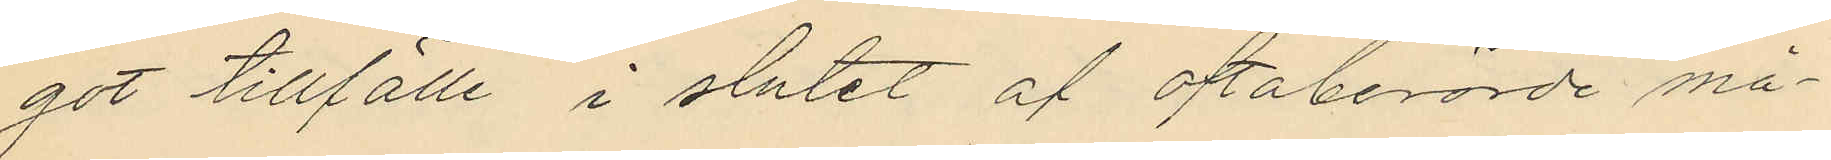got tillfälle i slutet af oftaberörde må¬
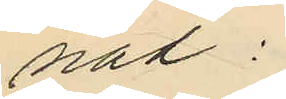nad:
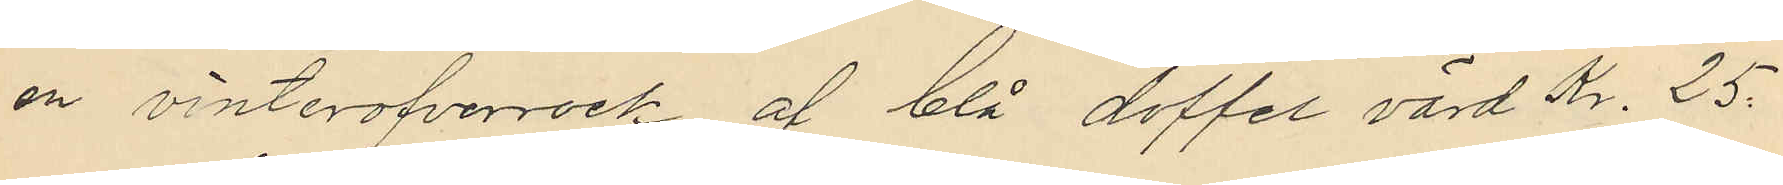en vinteröfverrock af blå doffel värd Kr. 25.
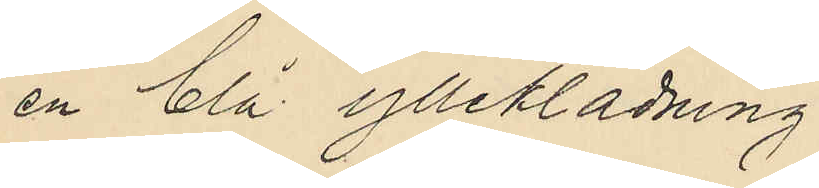en blå ylleklädning
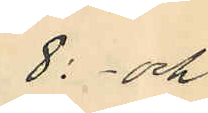8: och
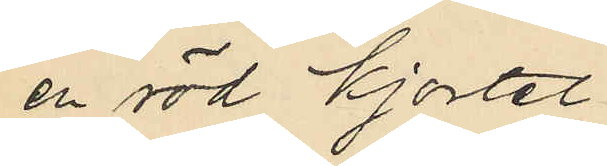en röd kjortel
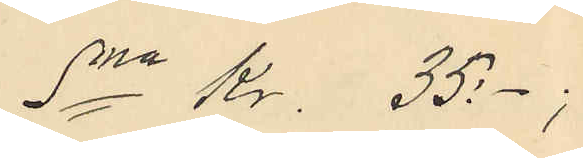Sma Kr. 35:- ;
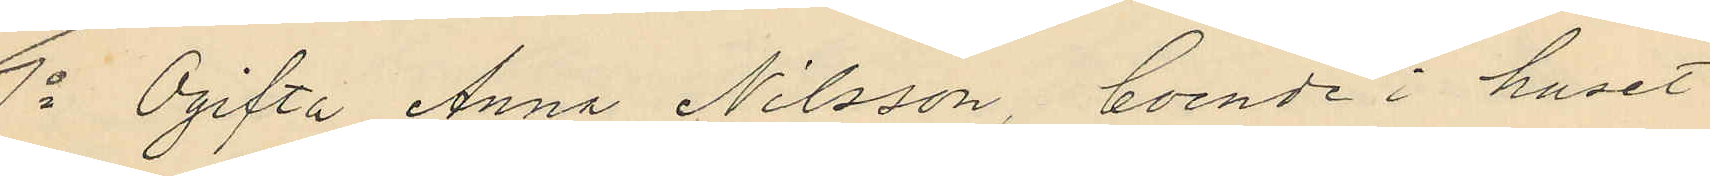7o Ogifta Anna Nilsson, boende i huset
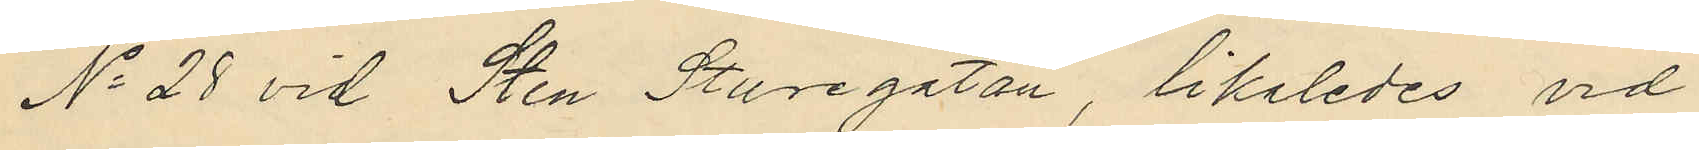No 28 vid Sten Sturegatan, likaledes vid
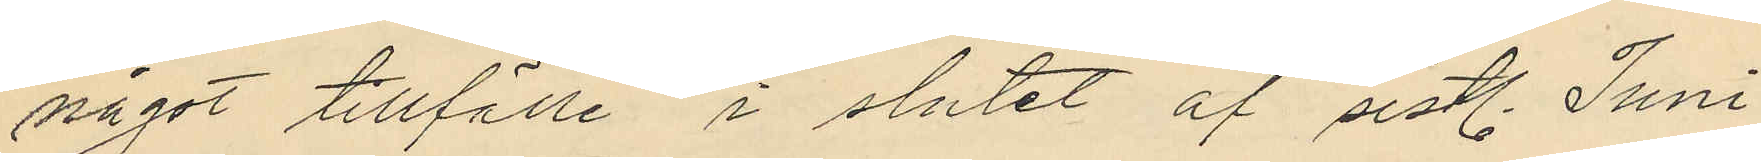något tillfälle i slutet af sistl. Juni
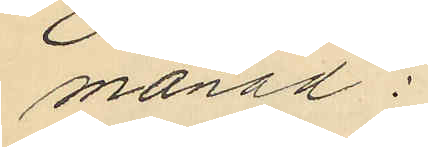månad:
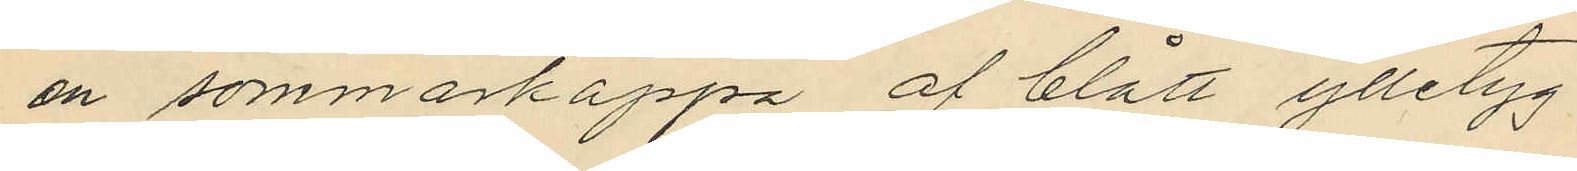en sommarkappa af blått ylletyg
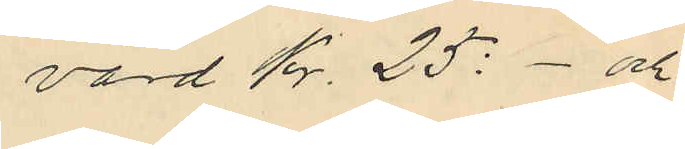värd Kr. 25:- och
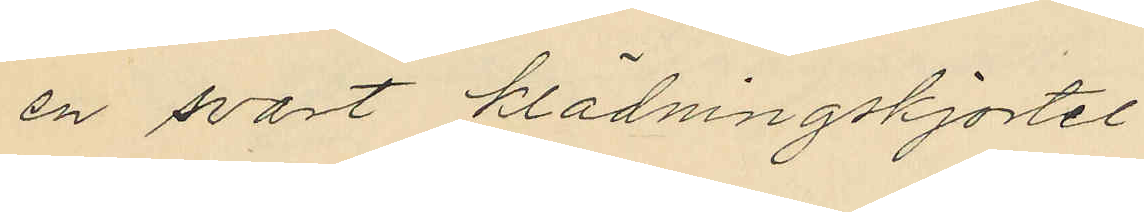en svart klädningskjortel
